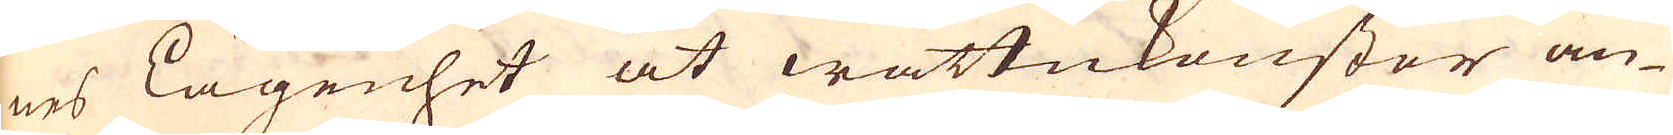nes Lägenhet at wattukonster an-
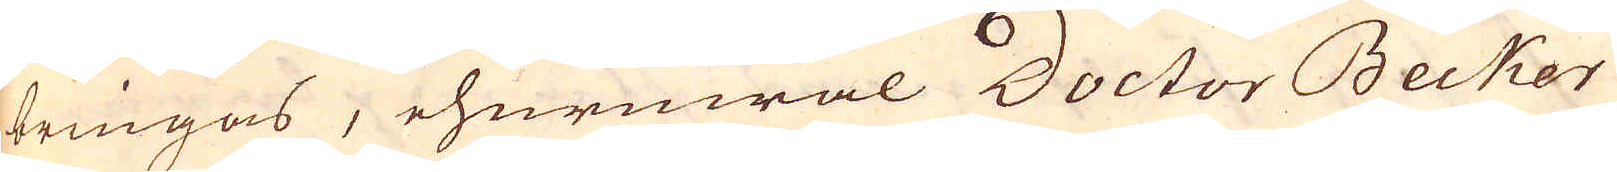bringas, ehuruwäl Doctor Becker
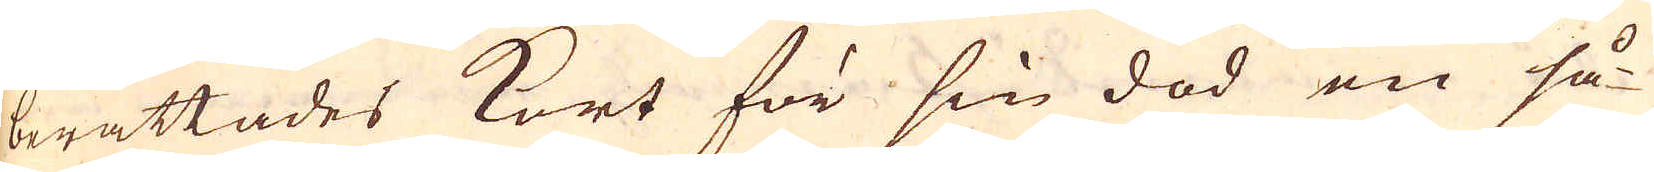berättades kort för sin död en så-
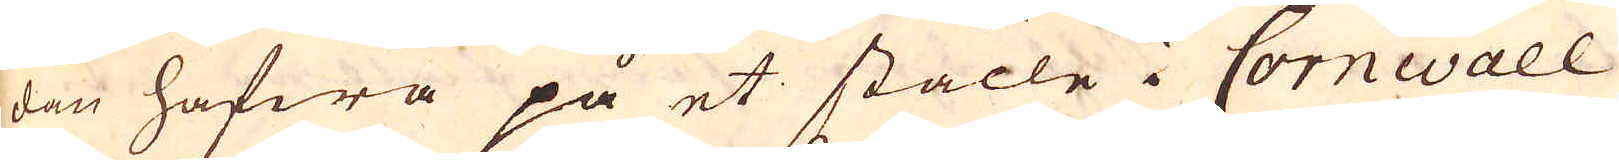dan hafwa på et ställe i Cornwall
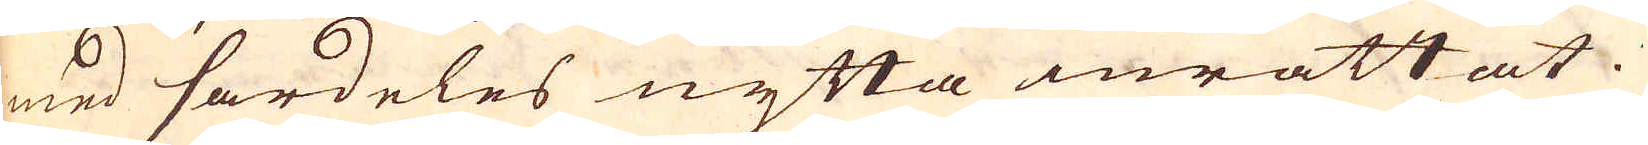med särdeles nytta inrättat.
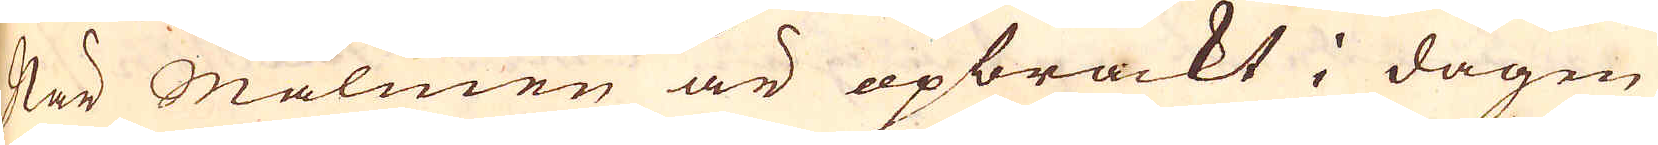När Malmen är opbrackt i dagen
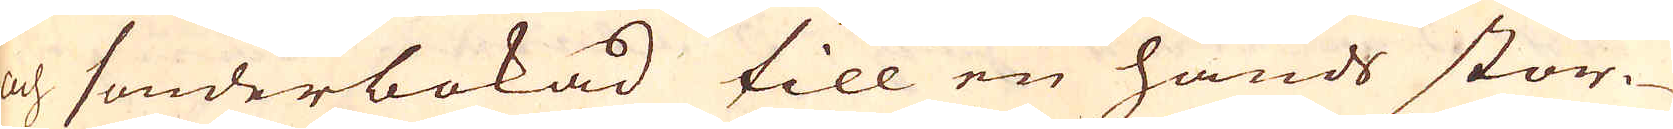och sönderbokad till en hands stor-
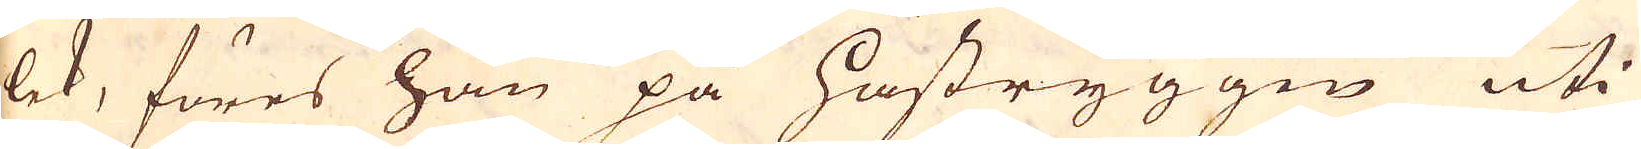lek, föres han på hästryggen uti
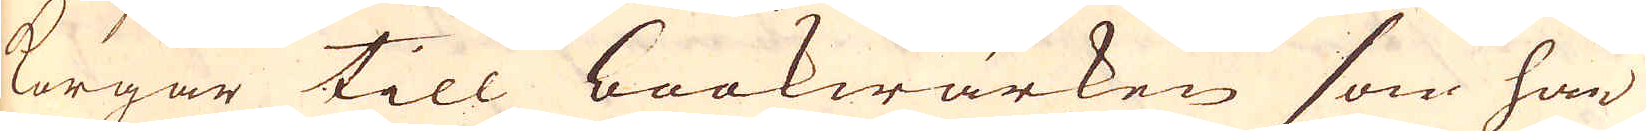korgar till bookwärken som han
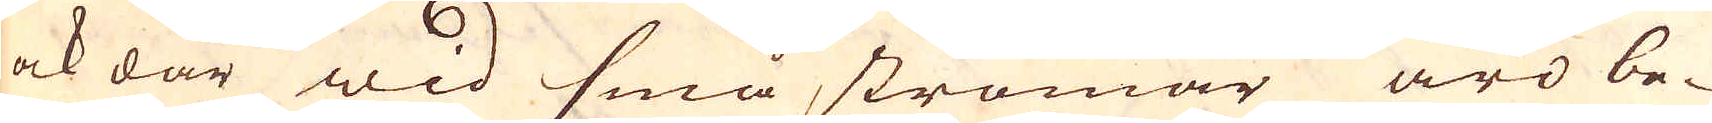ock där wid små strömar äro be-
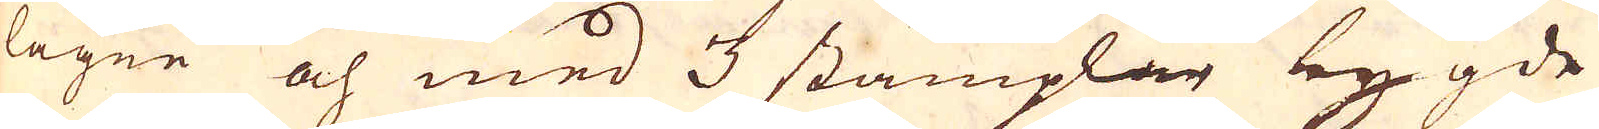lägne och med 3 stämplar bygde
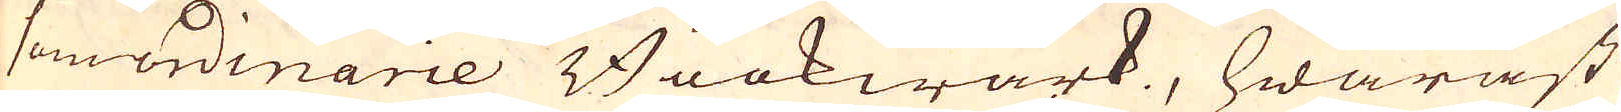som ordinarie Bookwärk, hwaräst
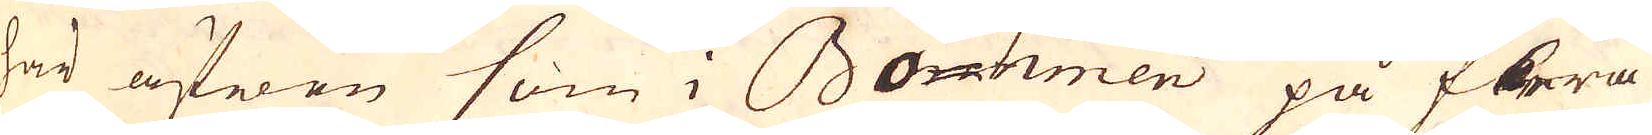har äfwen som i Bohmen på flera
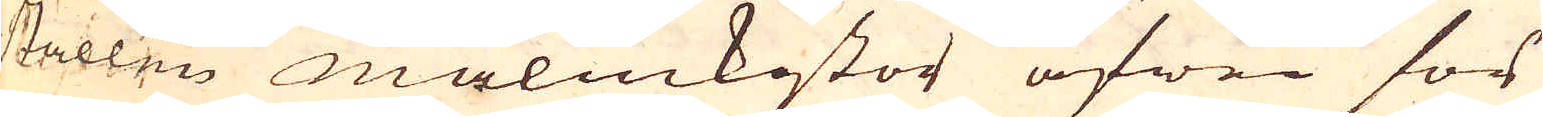ställen malmkistor äfwen för
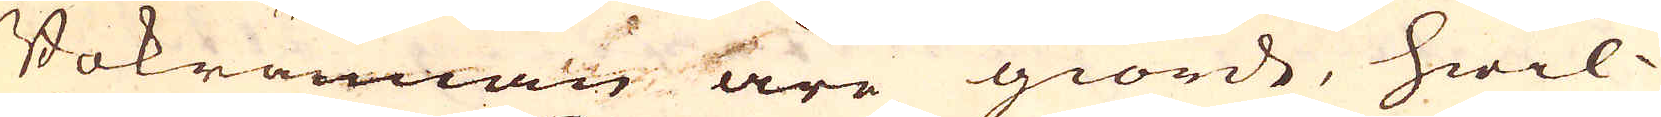Bokrännan äre giorde, hwil-
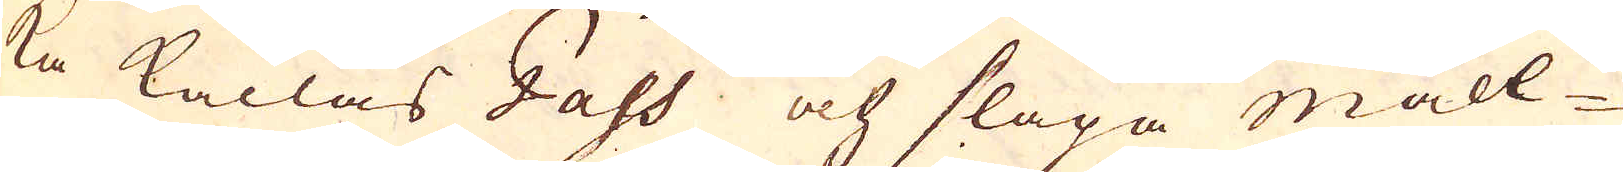ka kallas Gahs och släpa mall-
